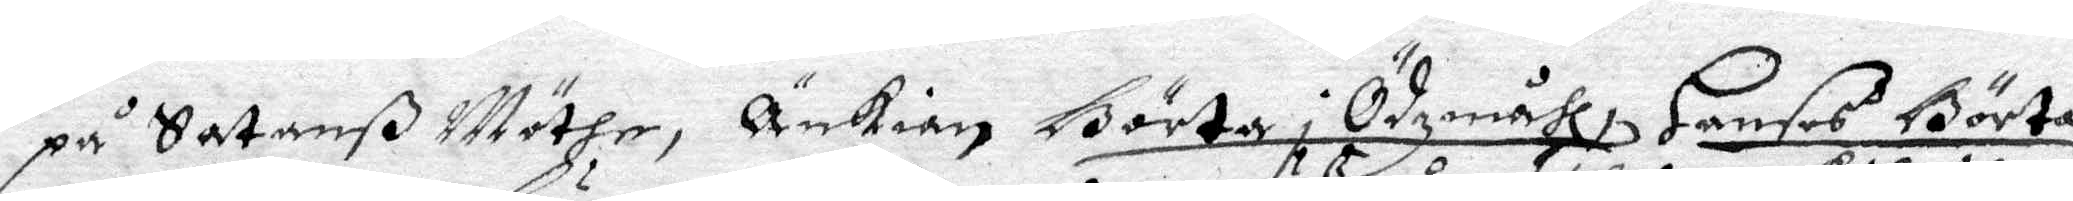på Satanß Möthe, Änkian Börta i Ödzmåhl, Hanses Börta
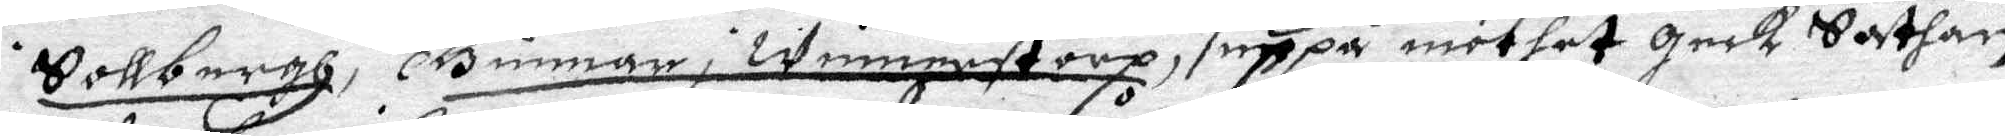i Sollbergh, Gunnar i winnestorp, uppå möther geck Sathan
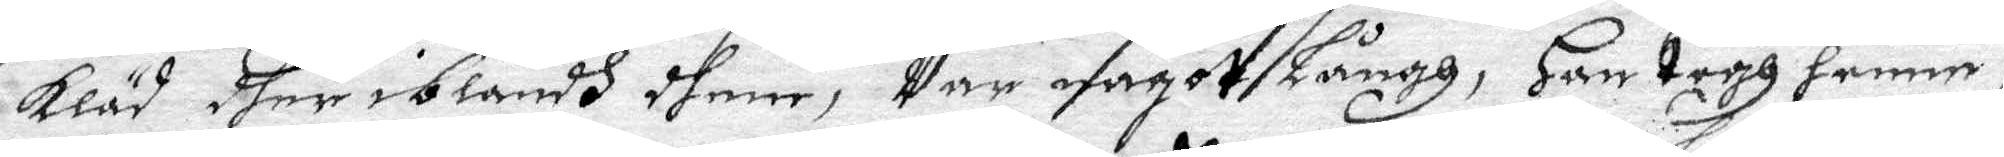kläd dher iblandh dhem, Var något Långh, Han togh henne i
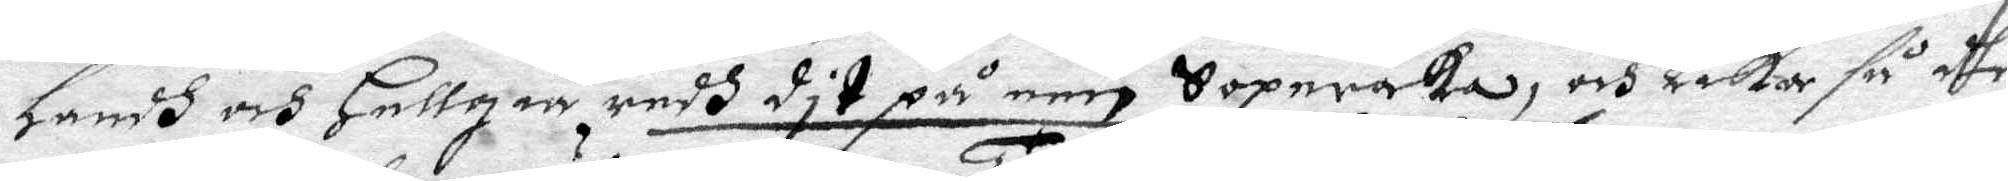Handh och Hellgia redh dit på een Sopraka, och Lika så dhe
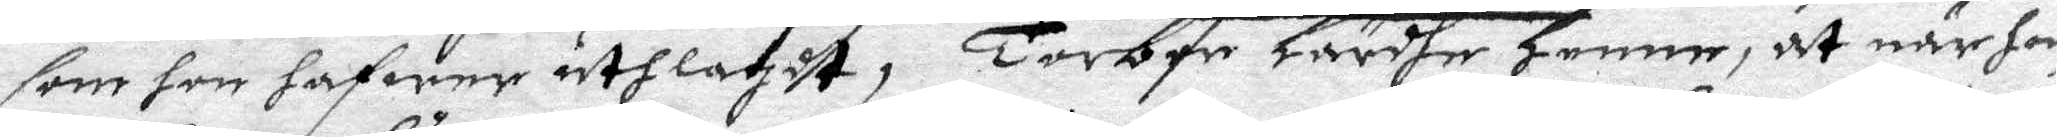som hon hafwer uthlagdt, Torben Lärdhe henne, at när hon
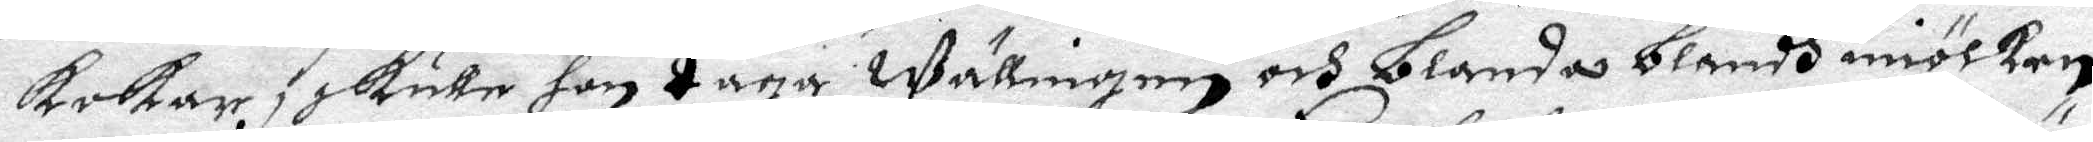kokar, skulle hon taga wällingen och Blanda Blandh miölken,
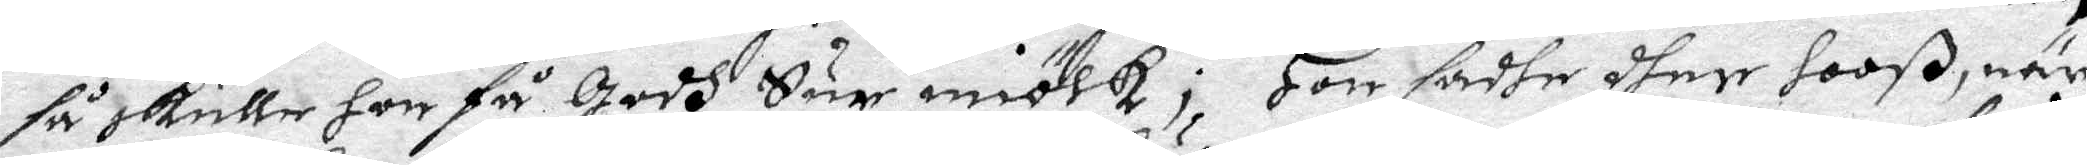så skulle hon få godh Sur miölk; Hon sadhe dher hooß, när
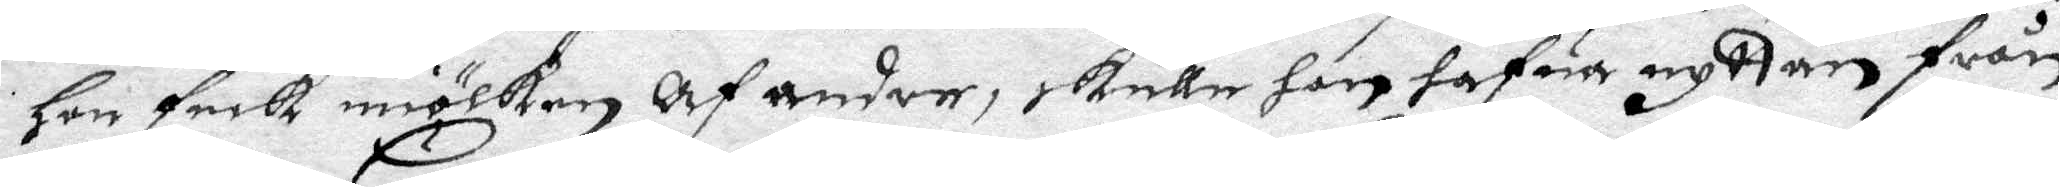Hon feck miölken Af andre, skulle hon hafua nyttan från
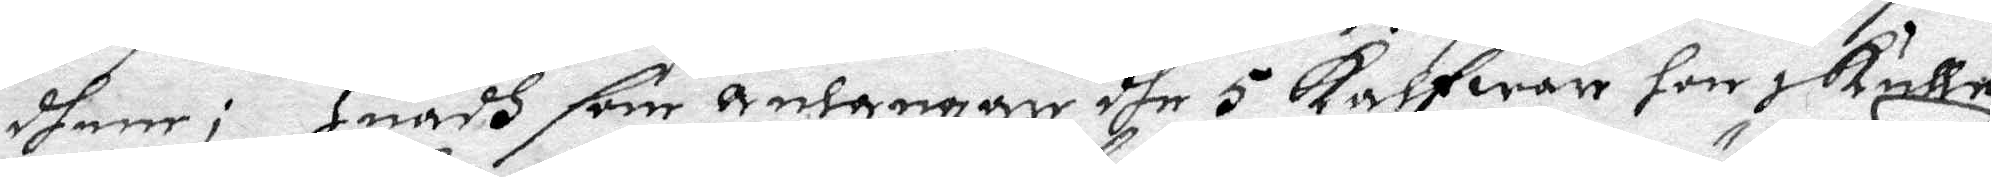dhem; Huadh som Anlangar dhe 5 kalfwar hon skulle
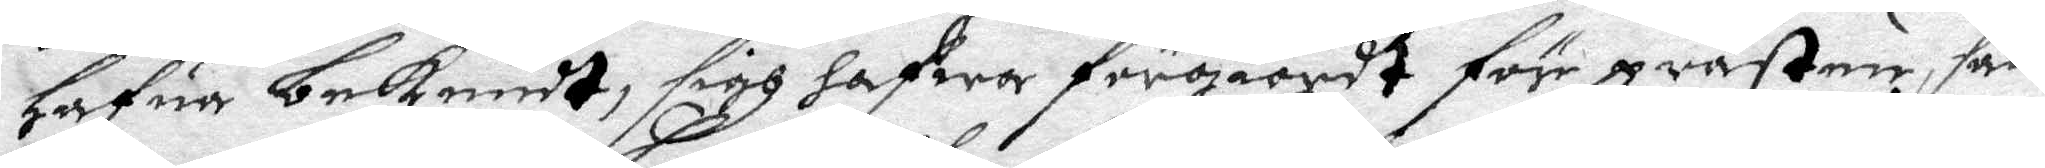hafua bekendt sigh hafwa förgiordt för prästen, sade
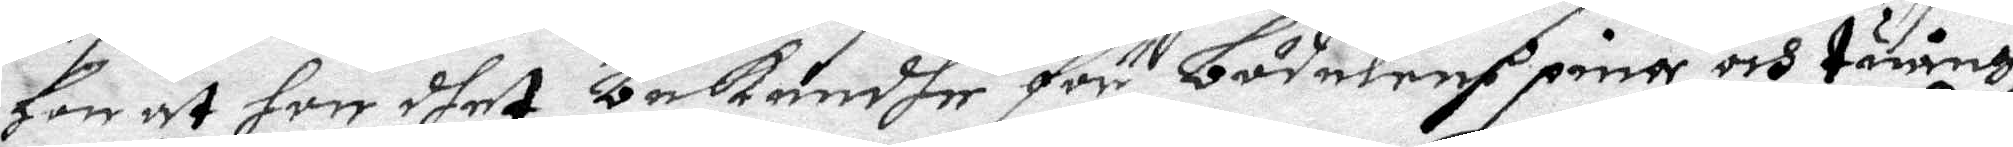Hon at hon dhet bekendhe för Bödelens pina och tuängh
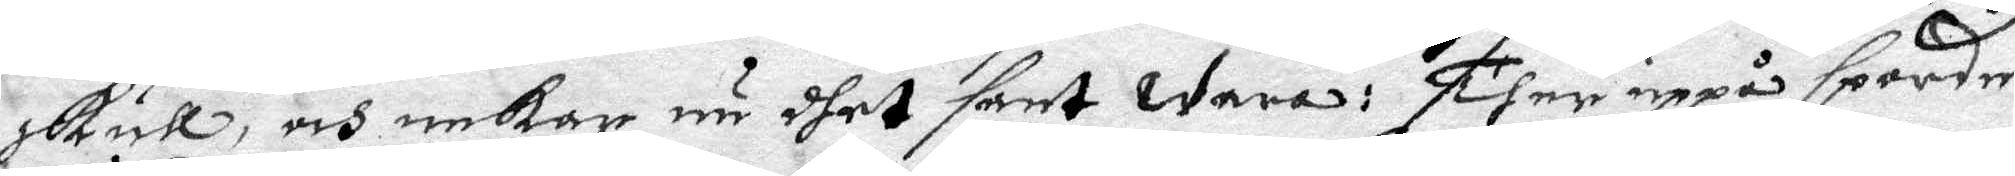skull, och nekar nu dhet sant wara: Then uppå sporde
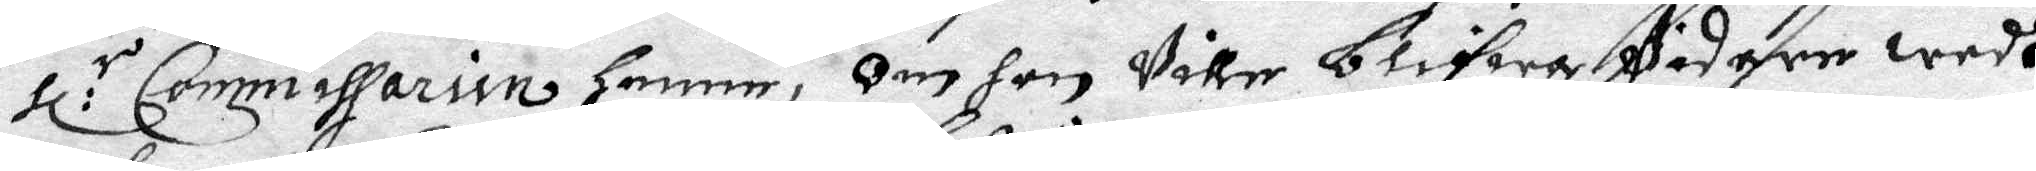Hl:r Commissarien Henne, Om hon Ville blifwa Vidare wedh
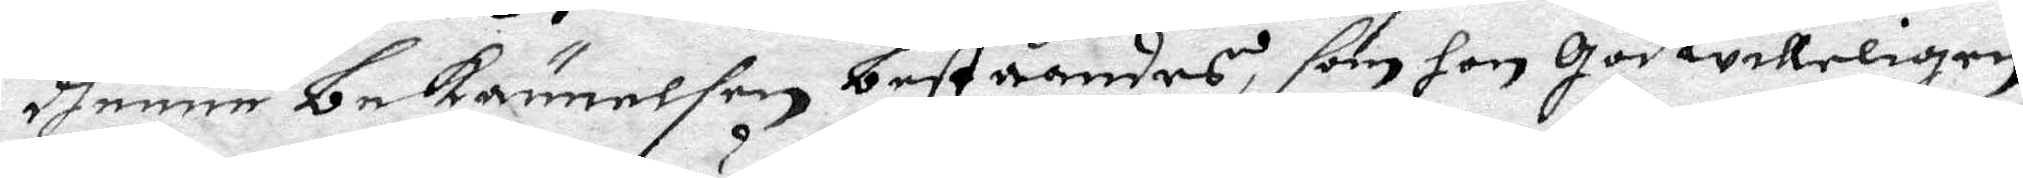dhenne bekännelsen beståendes, som hon godwilligen
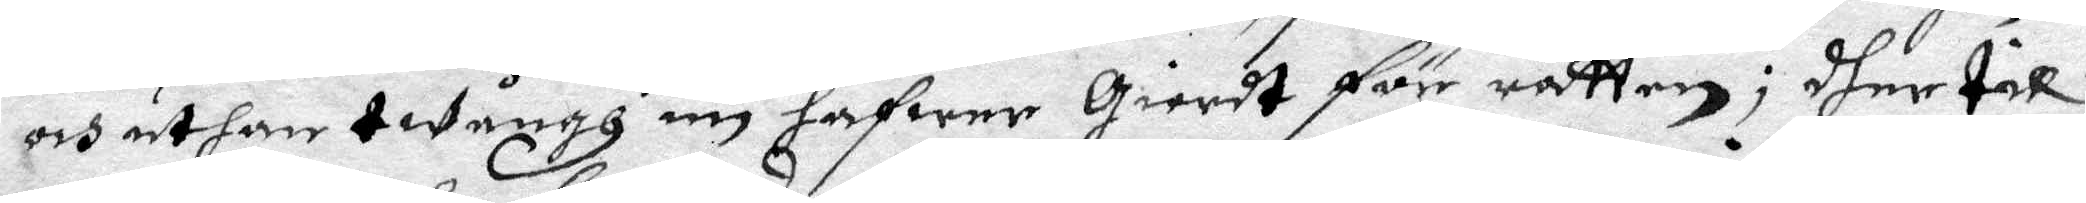och uthan twångh nu hafwer giordt för rätten; dher till
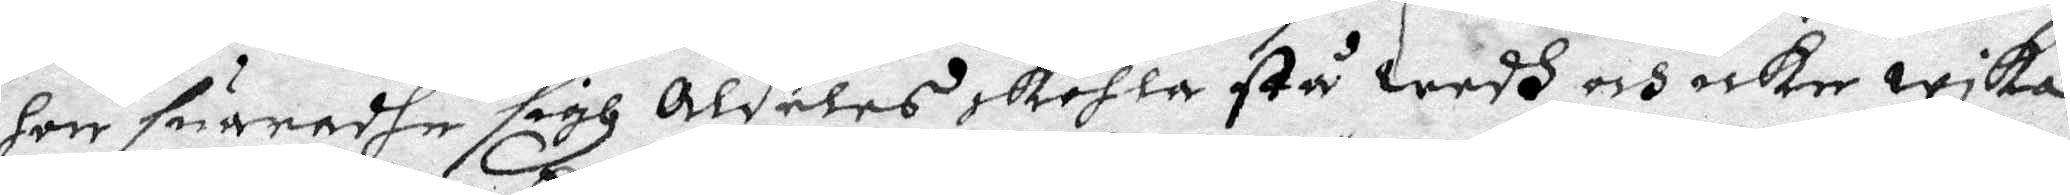hon suaradhe sigh Aldeles skohla stå wedh och icke wika
